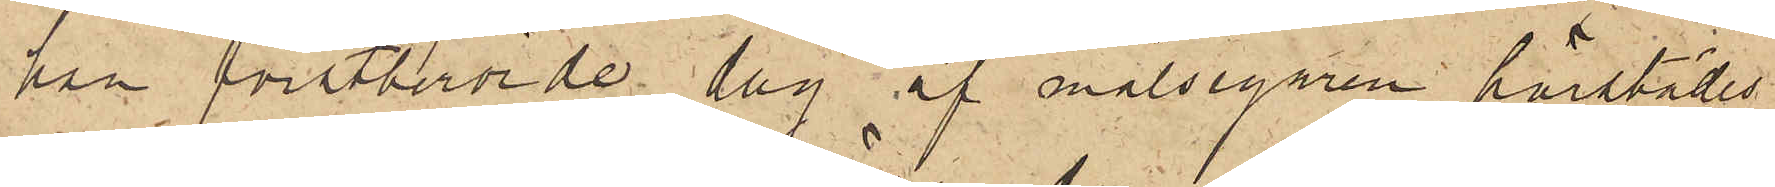han förstberörde dag af målsegaren härstädes
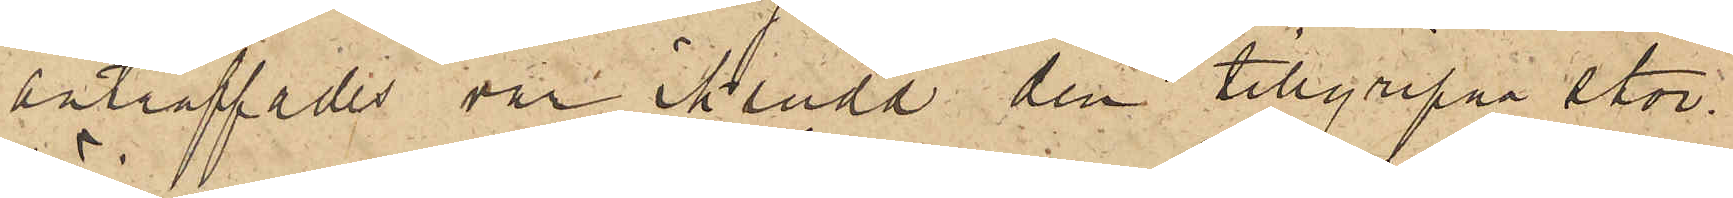påträffades var iklädd den tillgripna stor¬
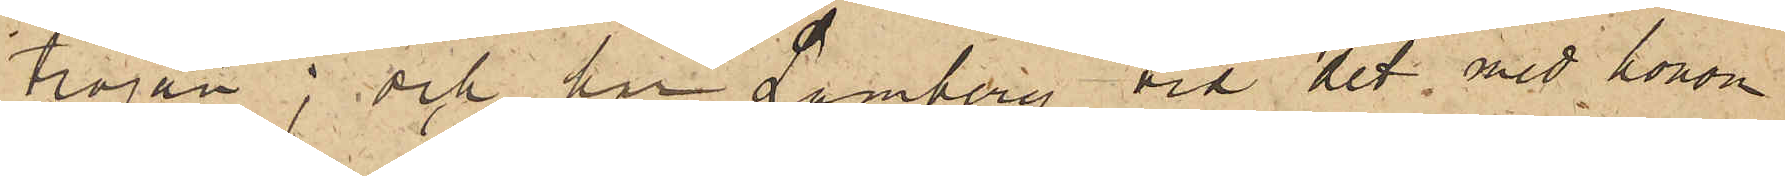tröjan; och har Lamberg vid det med honom
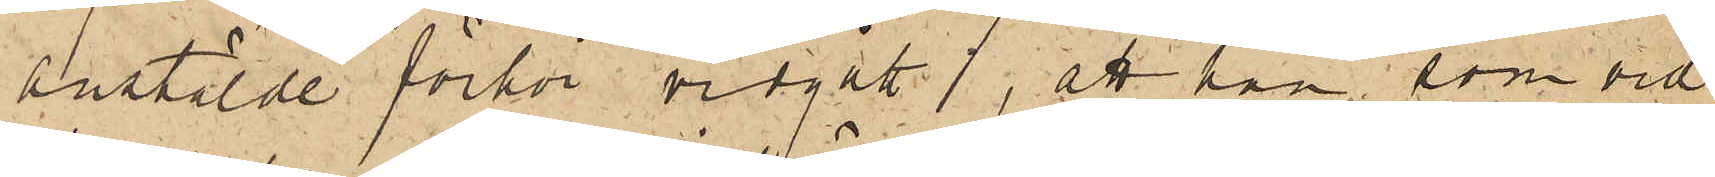anstälde förhör vidgått, att han som vid
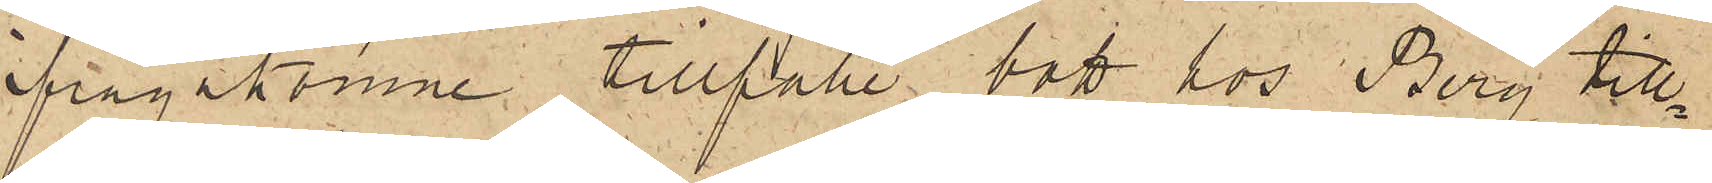frågakomne tillfälle bott hos Berg till¬
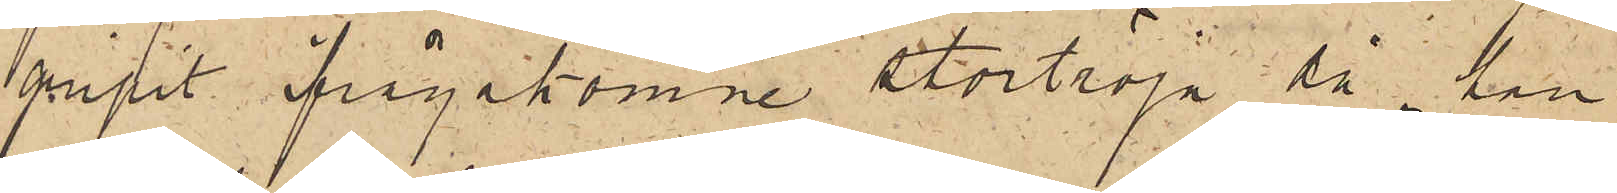gripit ifrågakomne stortröja då han
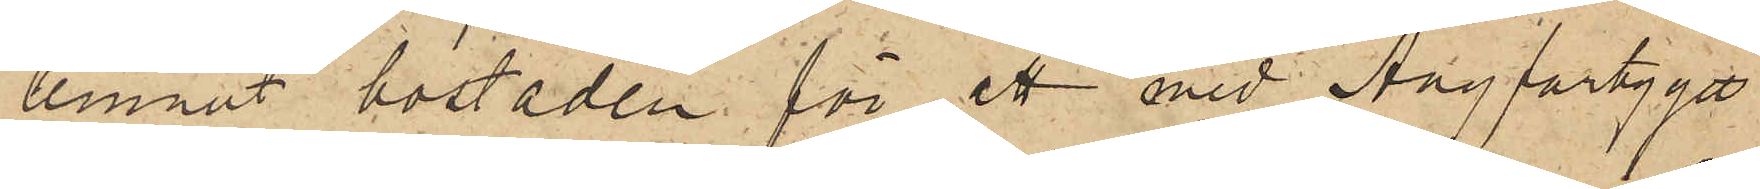lemnat bostaden för att med Ångfartyget
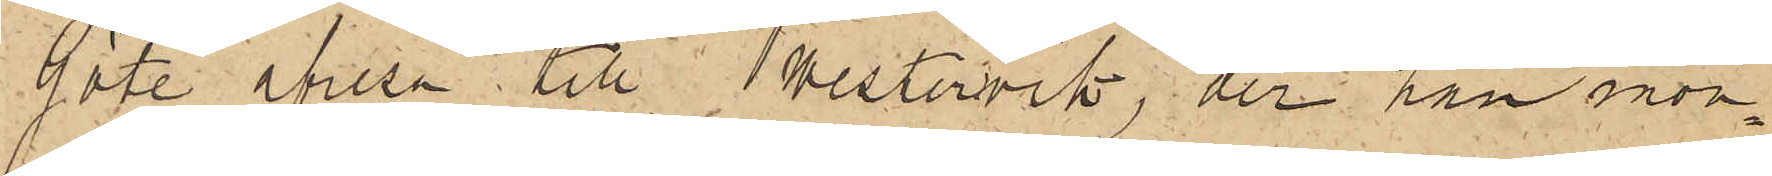Göta afresa till Westervik, der han mön¬
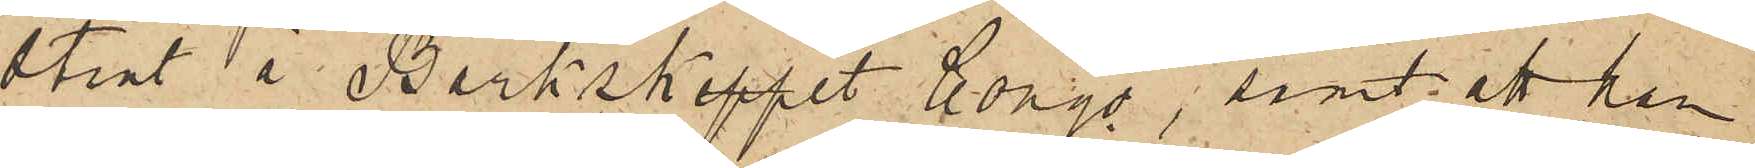strat å Barkskeppet Congo, samt att han
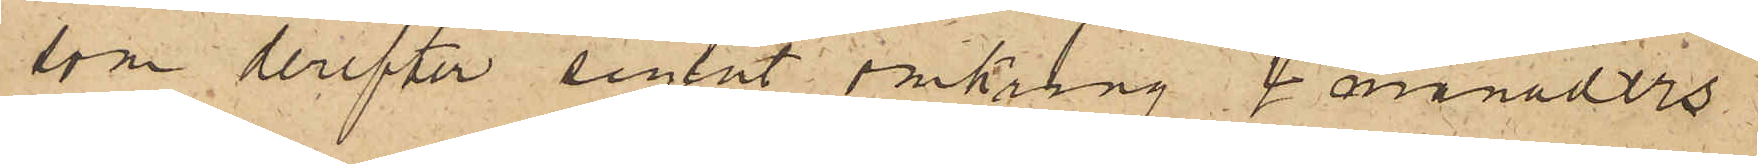som derefter seglat omkring 4 månaders
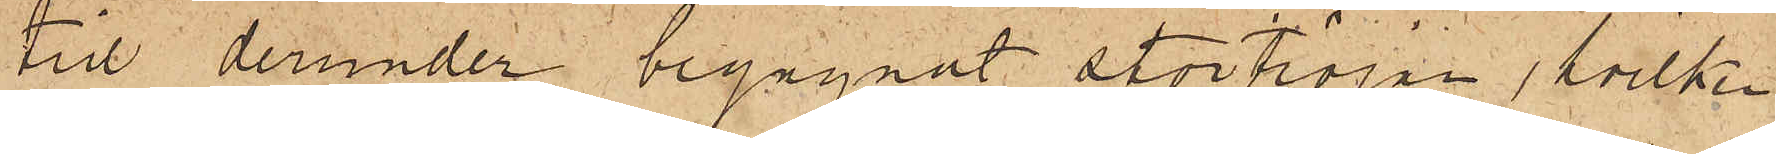tid derunder begagnat stortröjan, hvilken
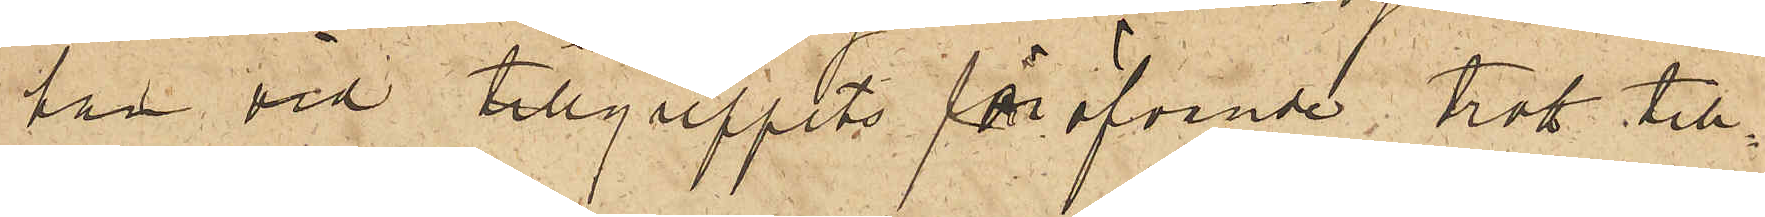han vid tillgreppets föröfvande trott till¬
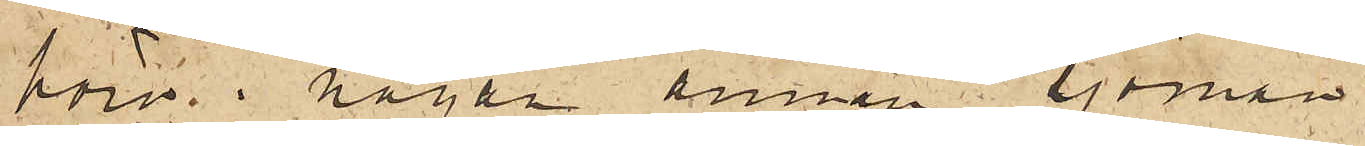höra en annan sjöman.
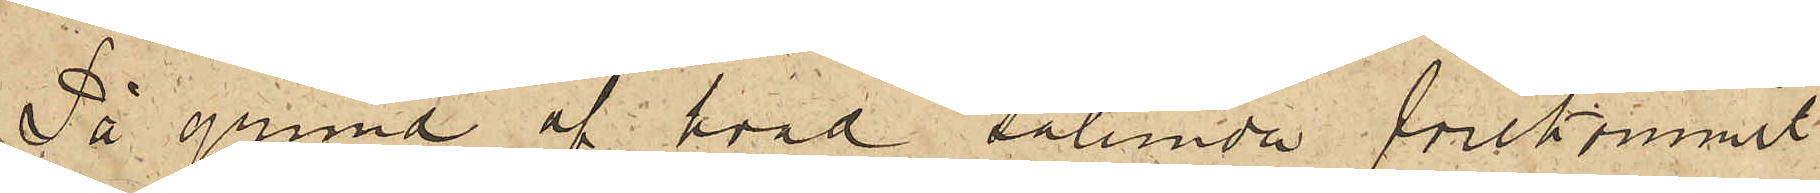På grund af hvad sålunda förekommit
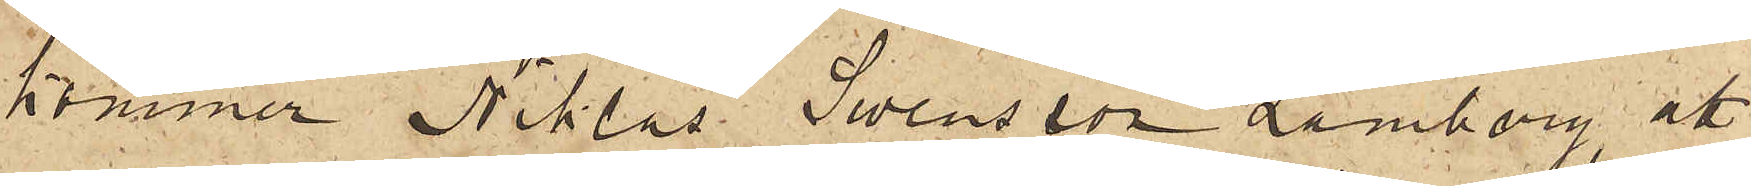kommer Niklas Swensson Lamberg att
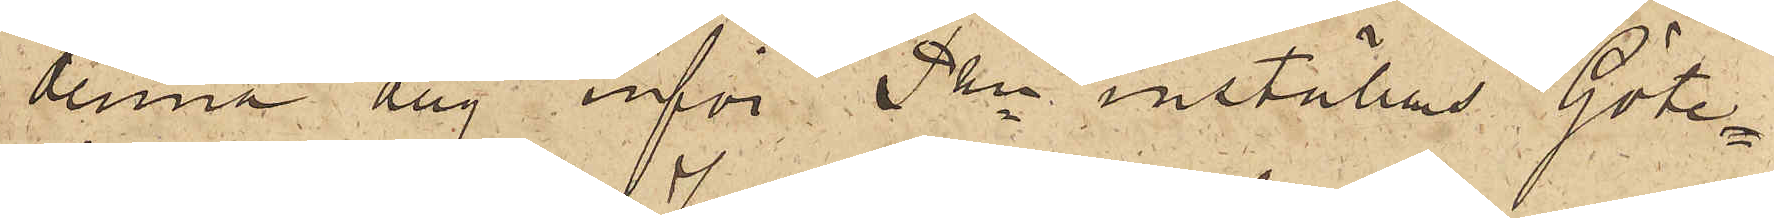denna dag inför Pkn inställas. Göte¬
